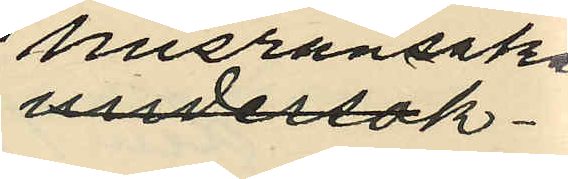husransakan
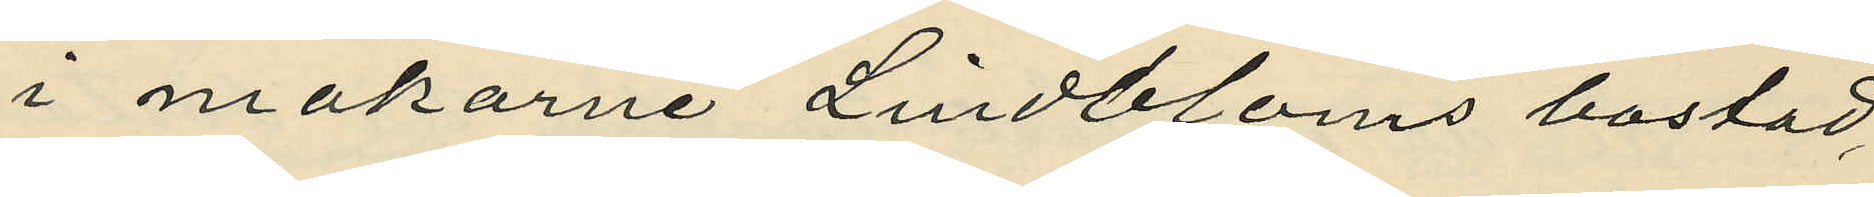i makarne Lindbloms bostad
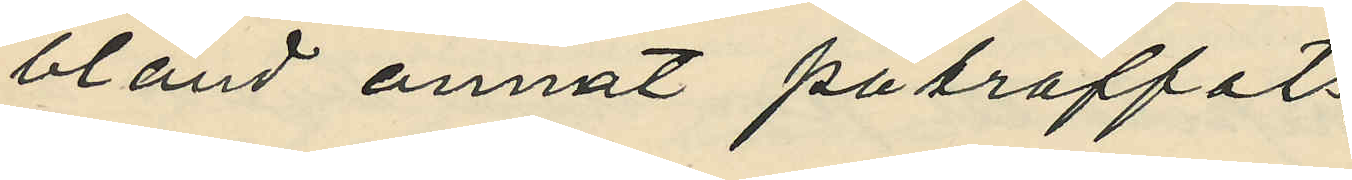bland annat påträffats
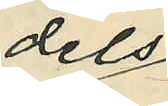dels
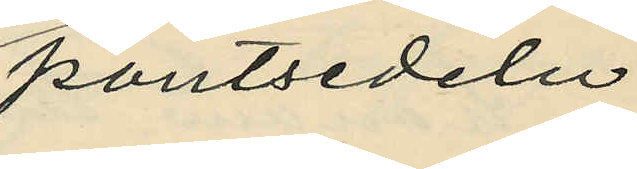pantsedeln
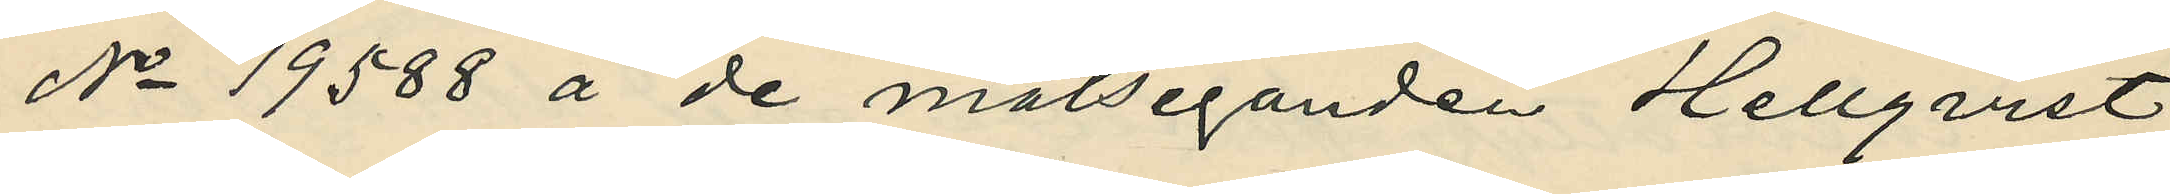No 19588 å de målseganden Hellqvist
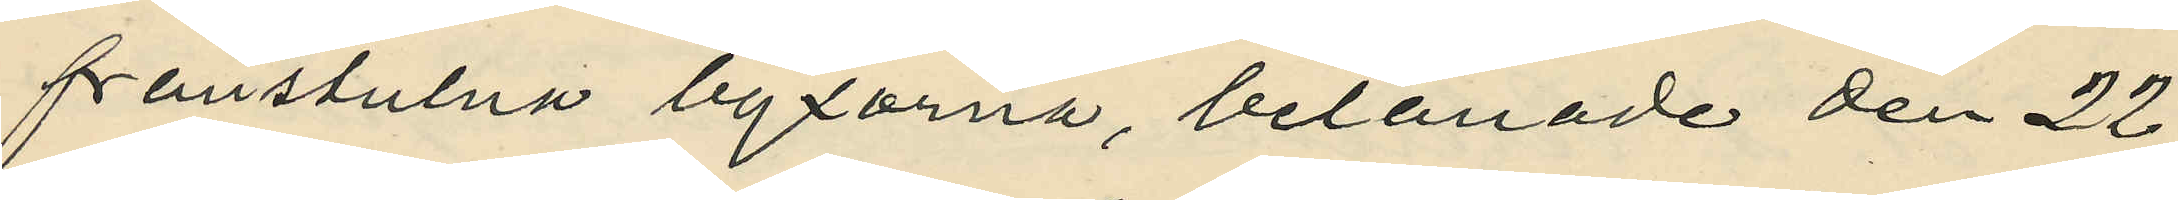frånstulna byxorna, belånade den 22
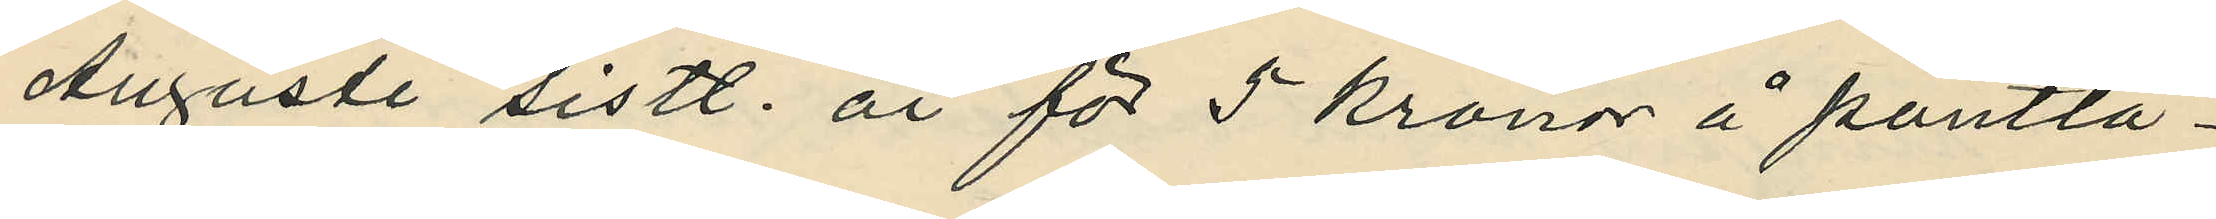Augusti sistl. år för 5 kronor å pantlå¬
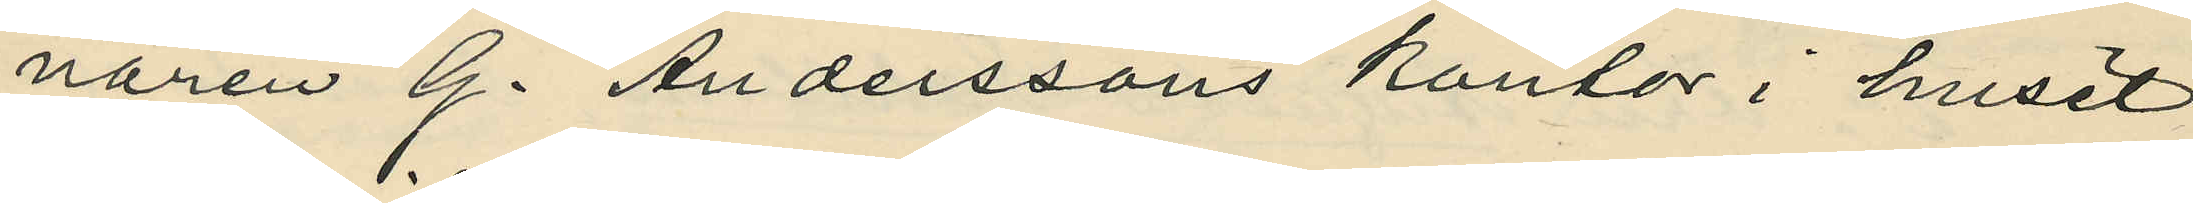naren G. Anderssons kontor i huset
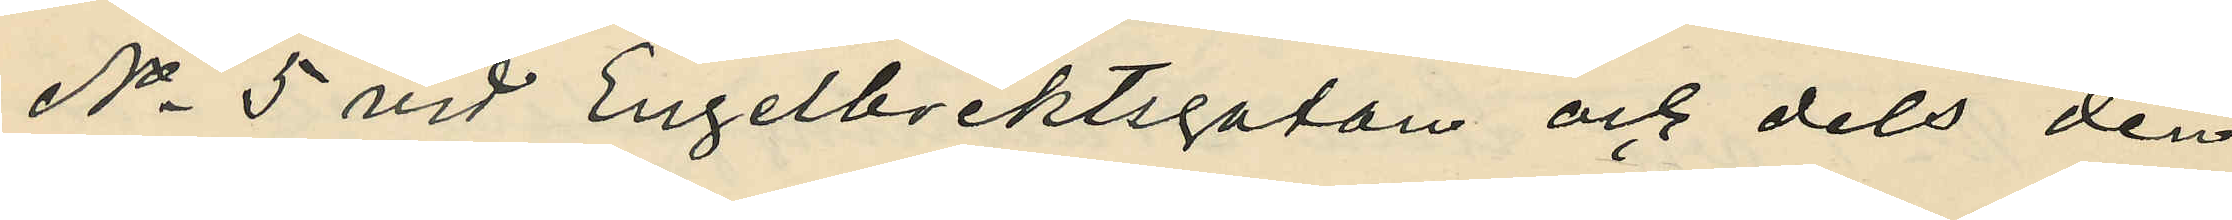No 5 vid Engelbrektsgatan och dels den
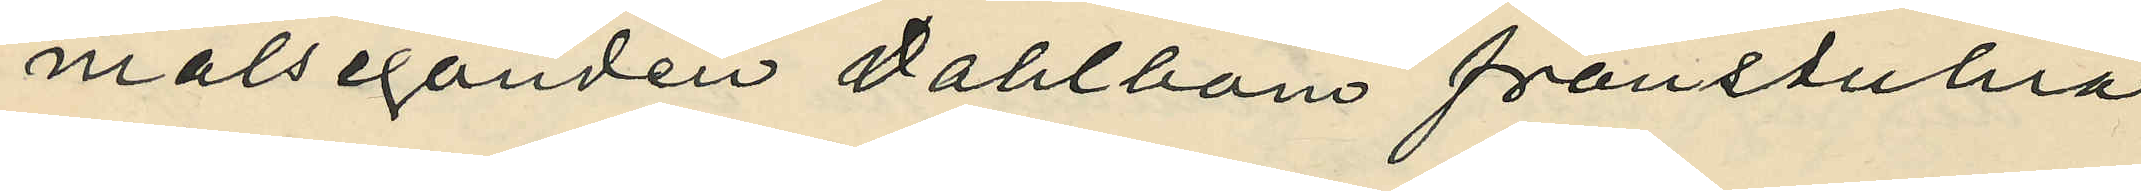målseganden Dahlbom frånstulna
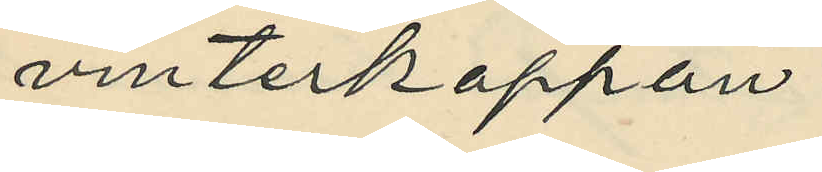vinterkappan.
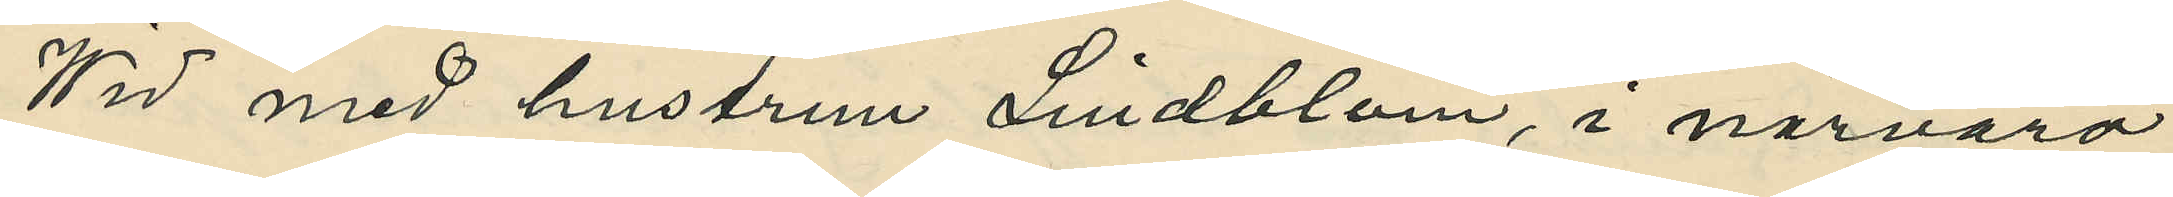Wid med hustrun Lindblom, i närvaro
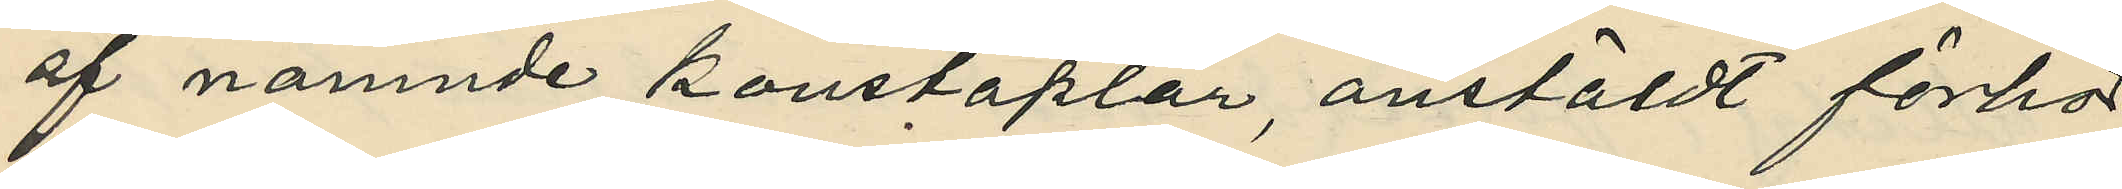af nämnde konstaplar, anstäldt förhör
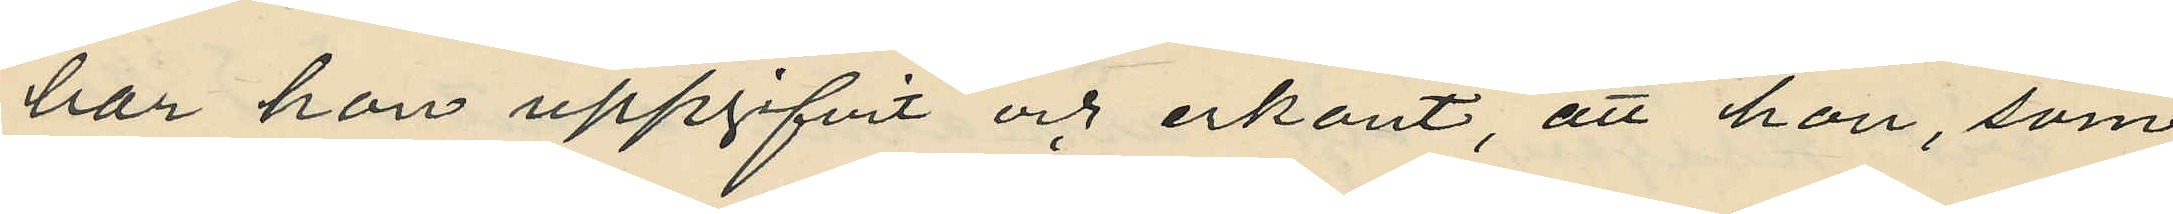har hon uppgifvit och erkänt, att hon, som
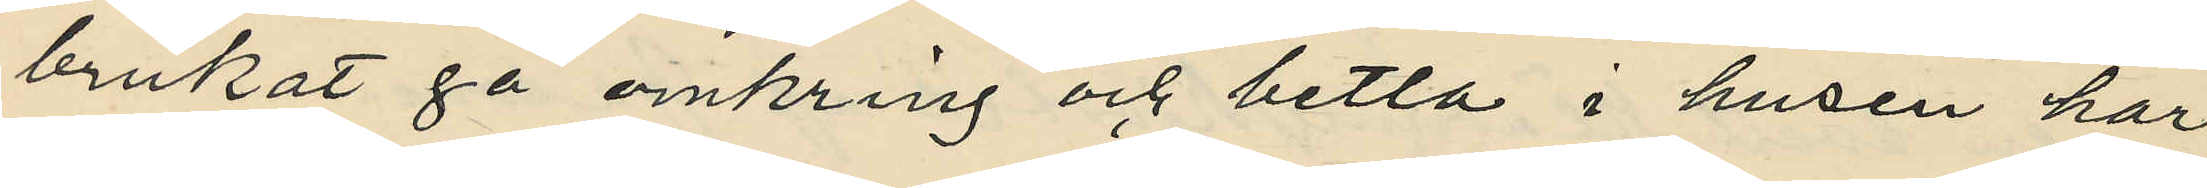brukat gå omkring och betla i husen har
